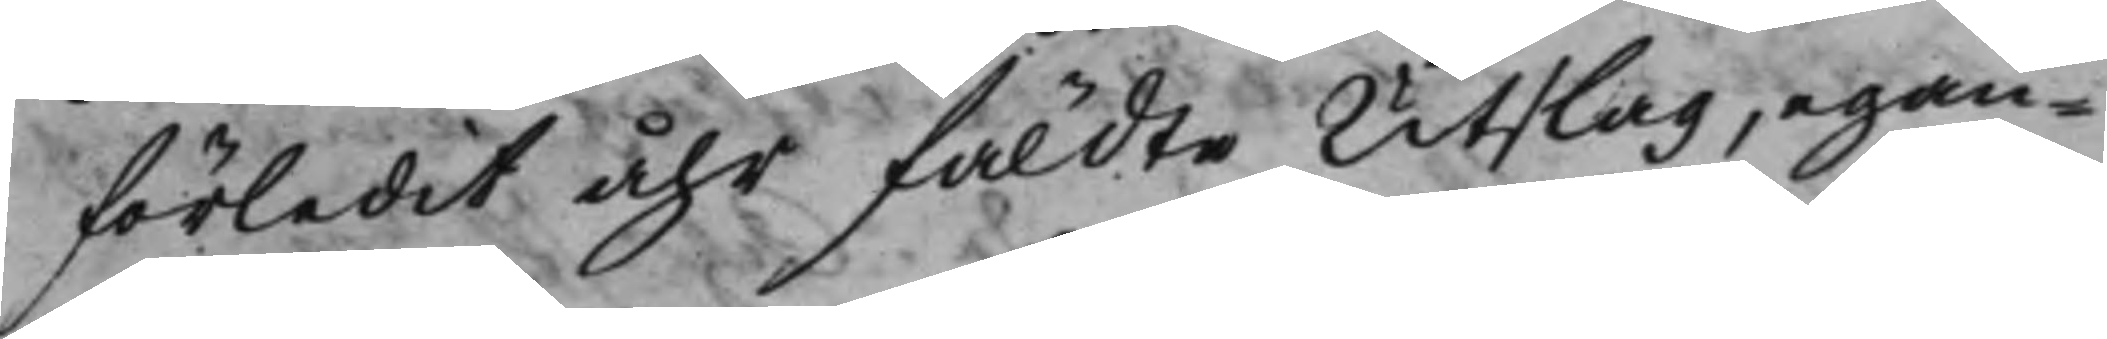förledit åhr fäldte Utslag, egan¬
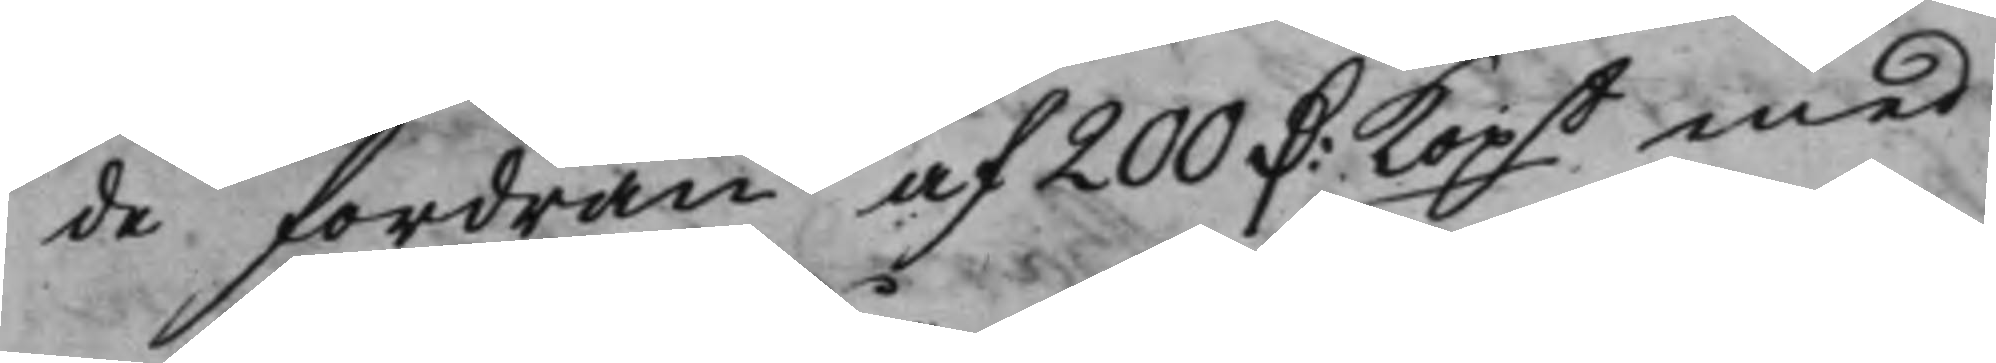de Fordran af 200 D:r Kopt med
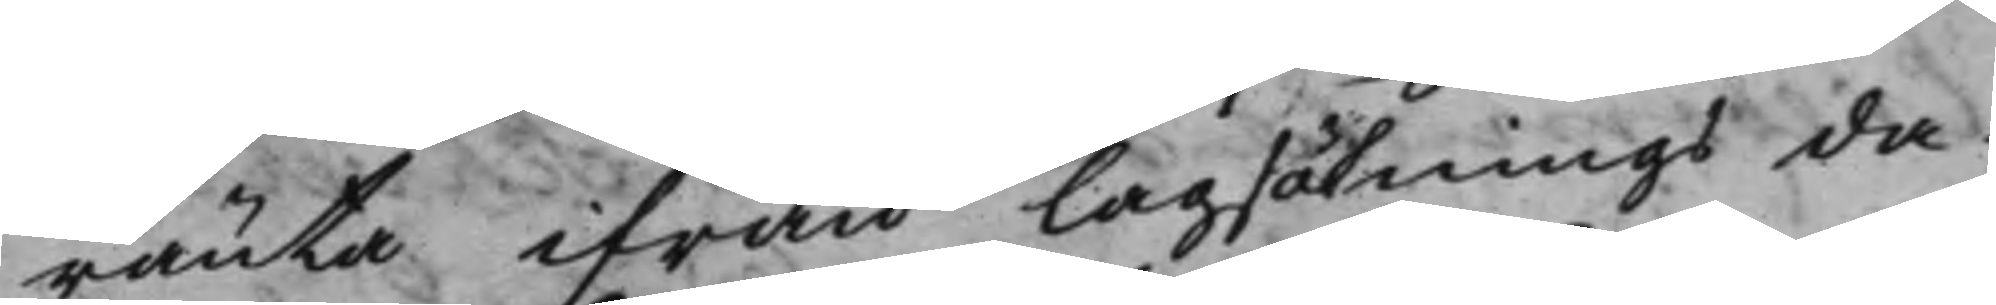ränta ifrån Lagsökningsda¬
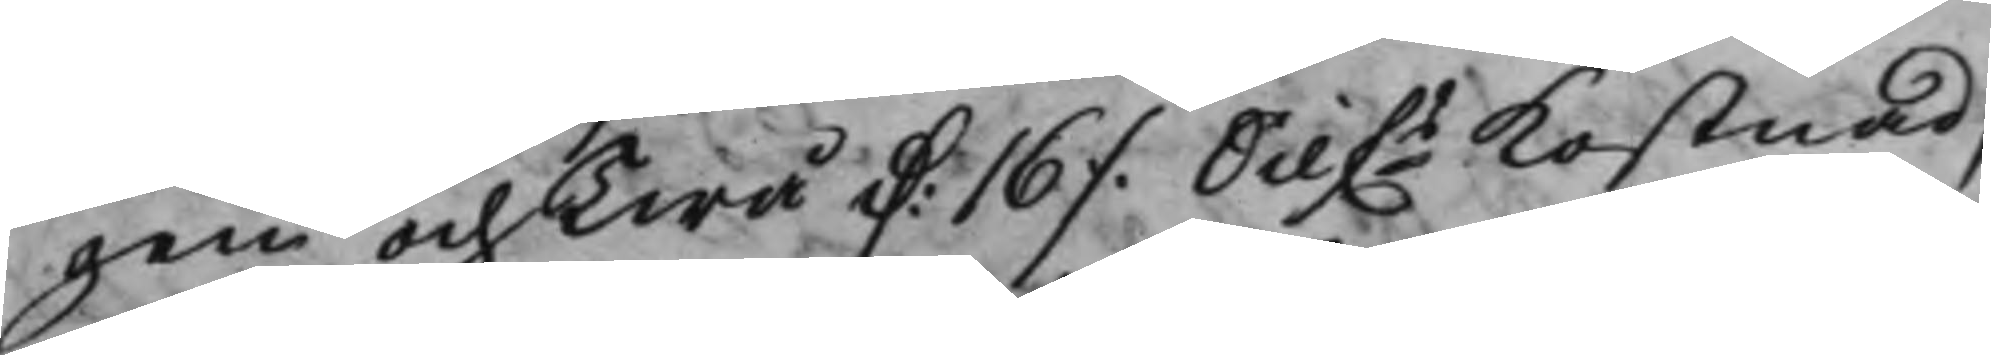gen och Twå D:r 16 ./. Silfs Kostnad,
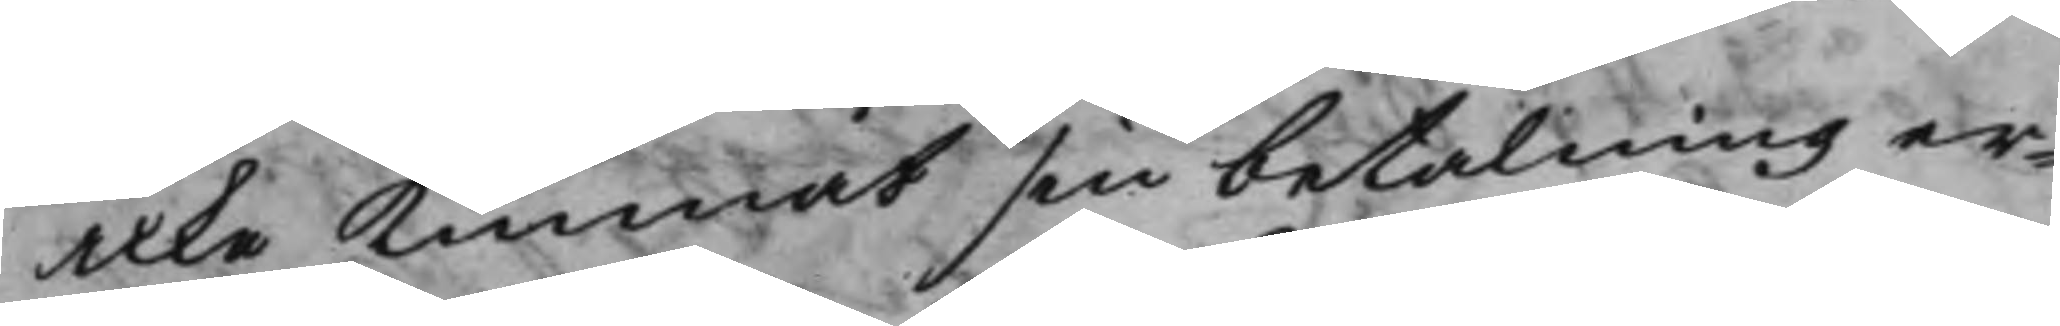icke Kunnat sin betalning er¬
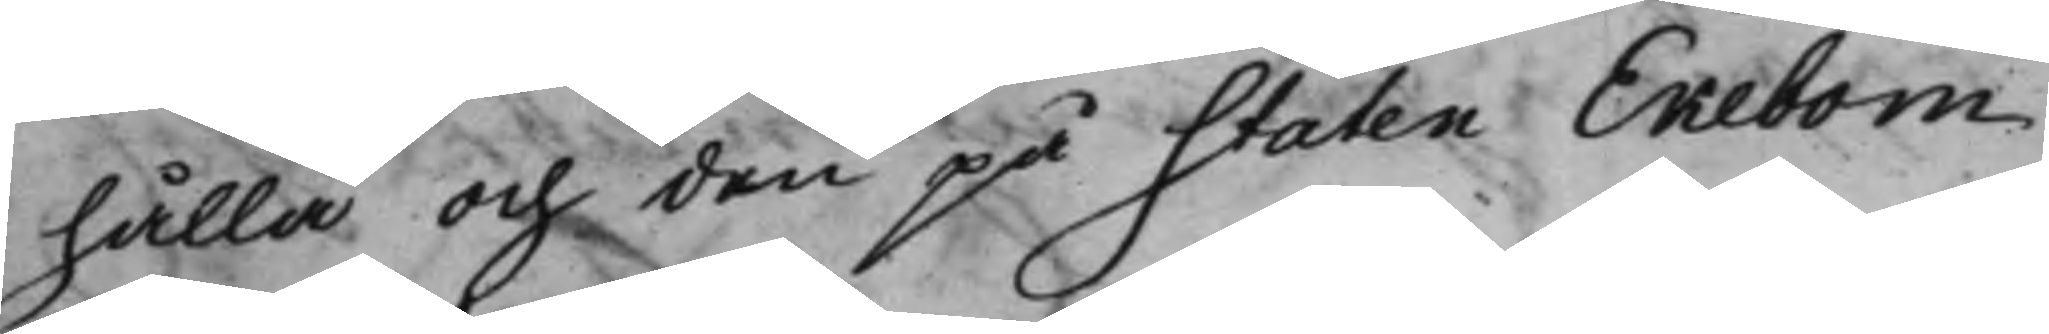hålla och den på Staten Ekebom
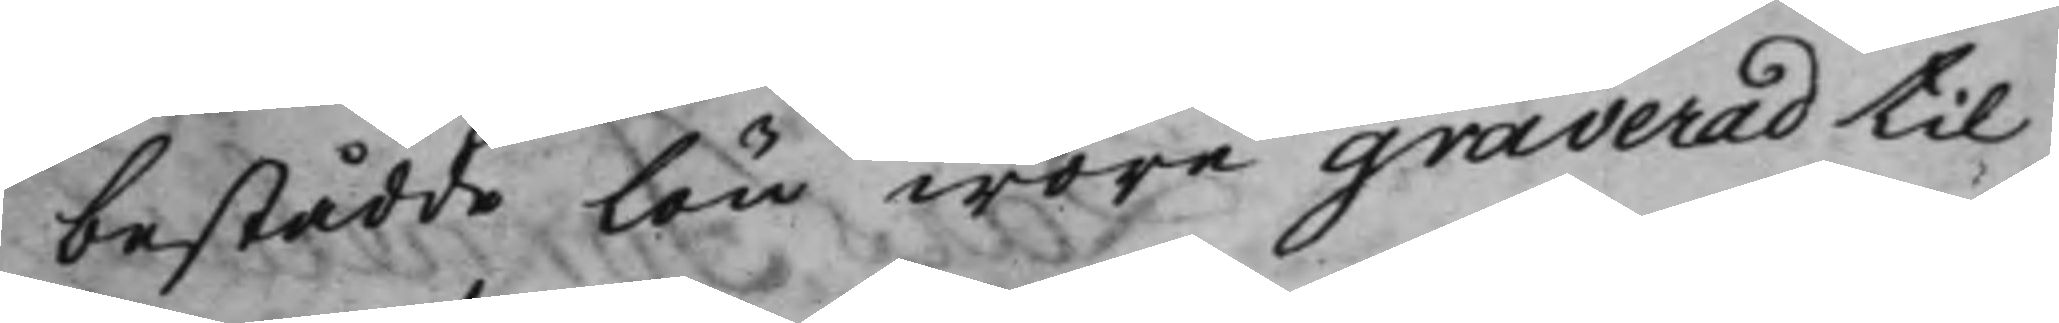bestådde lön wore graverad til
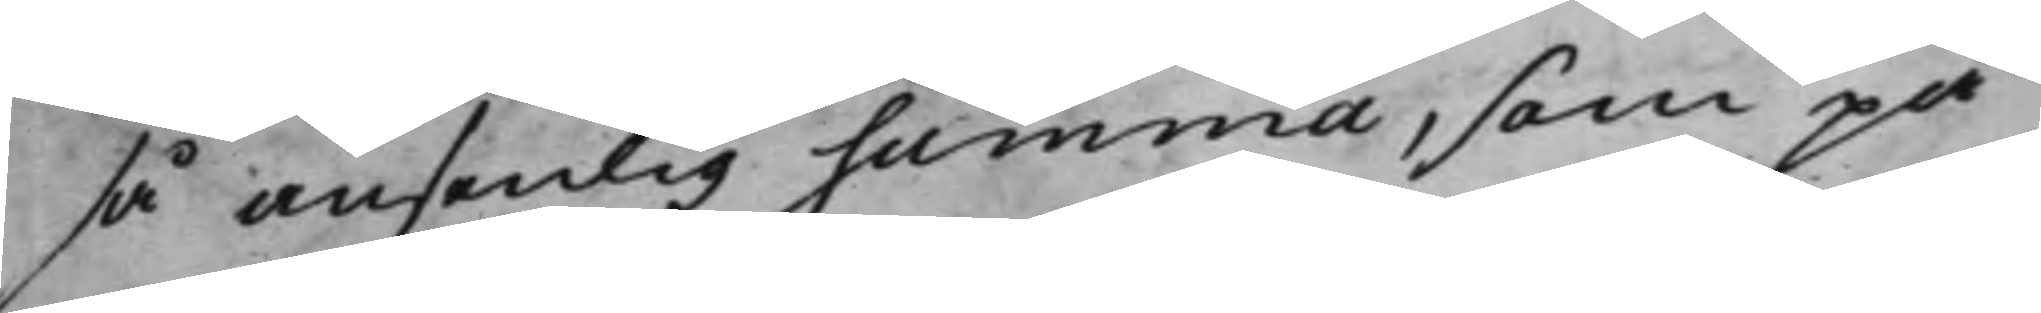så ansenlig summa, som på
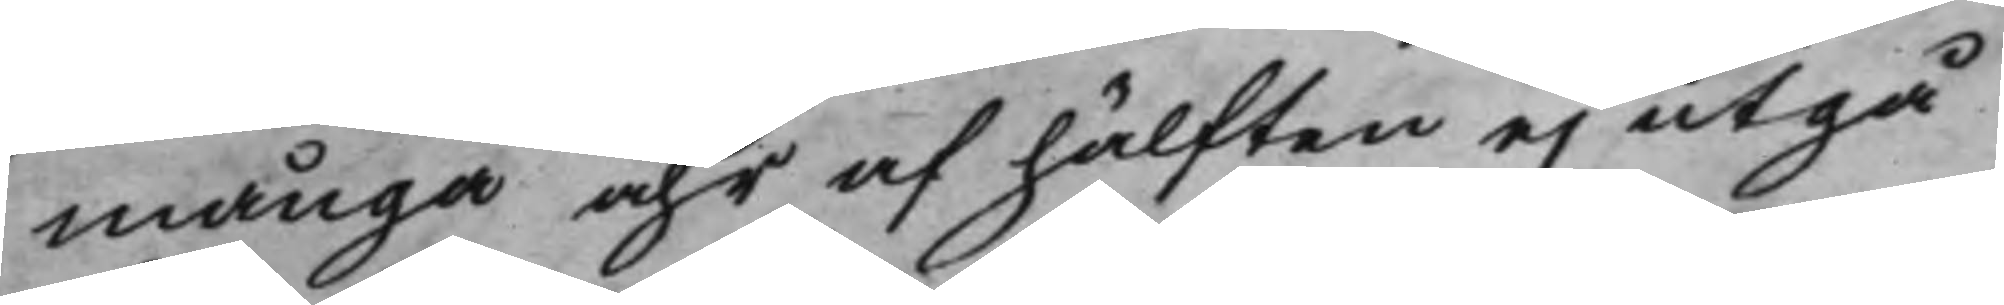många åhr af hälften ej utgå
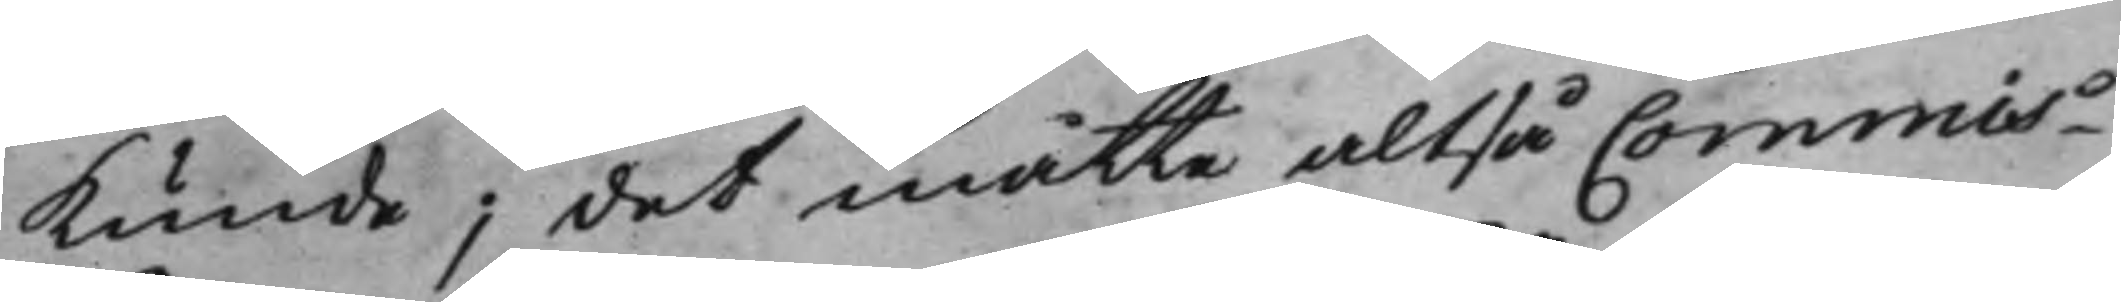kunde, det måtte altså Commis¬
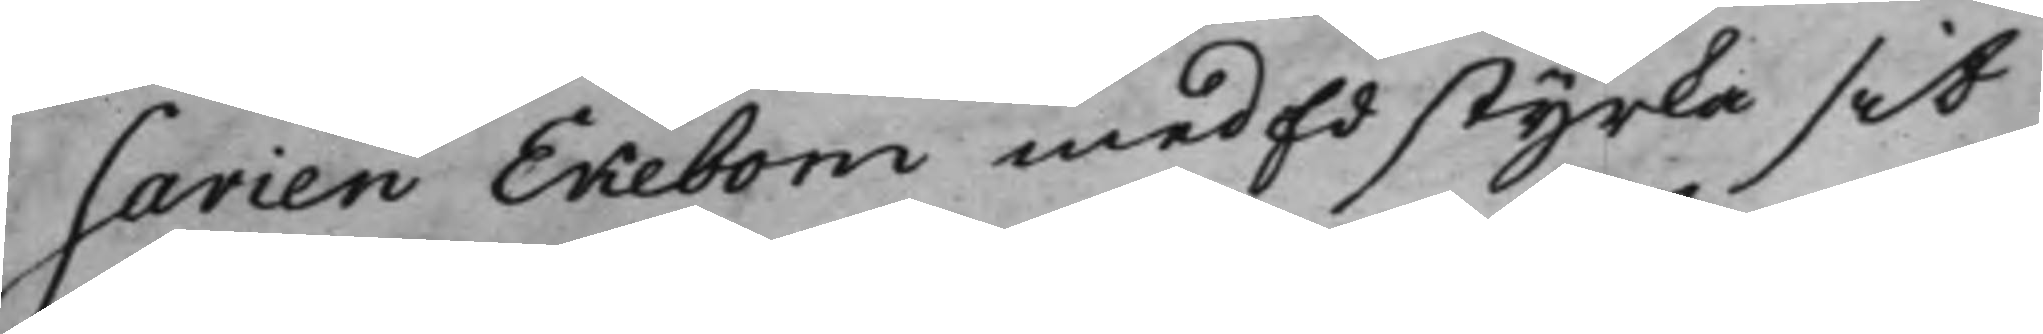sarien Ekebom med Ed styrka sit
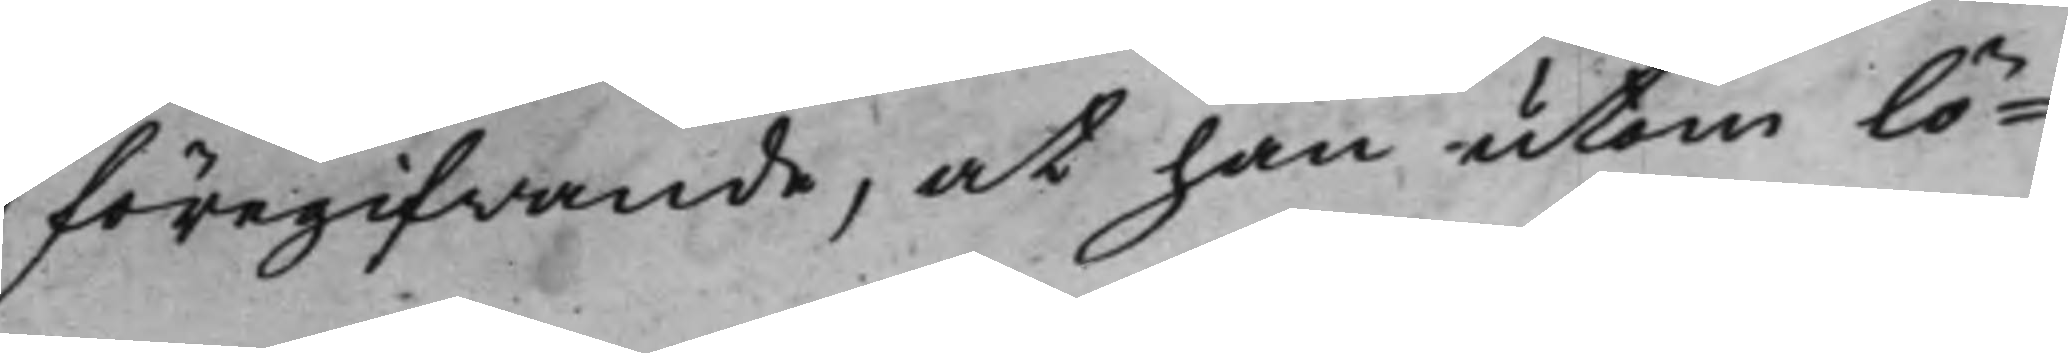föregifwande, at han utom lö¬
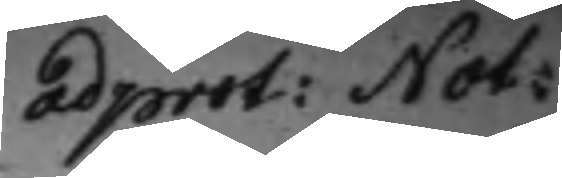ad prot: Not:
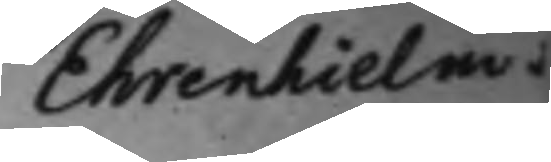Ehrenhielm.
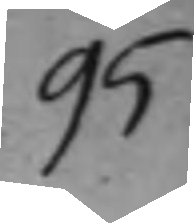95
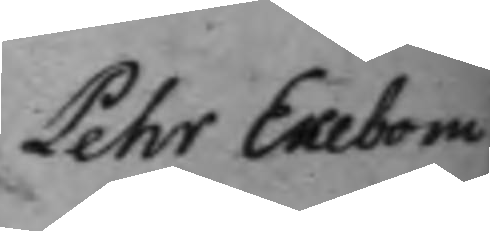Pehr Ekebom
